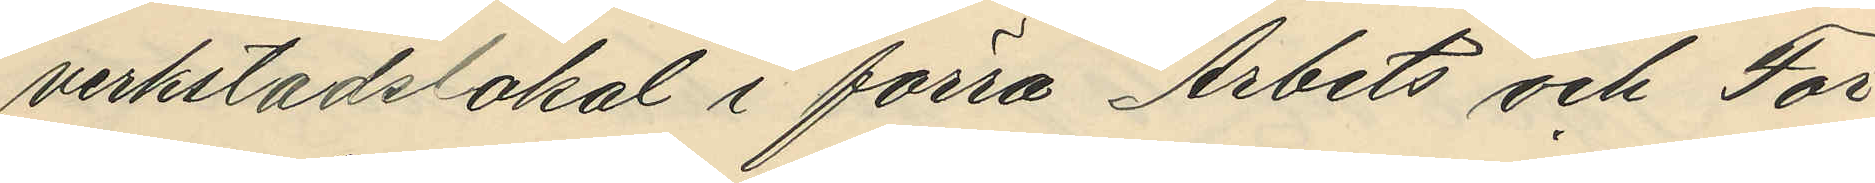verkstadslokal i förra Arbets och För¬
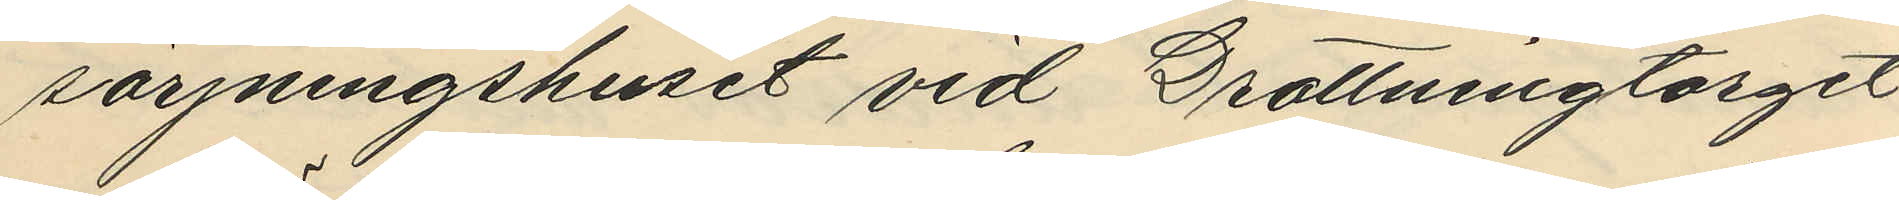sörjningshuset vid Drottningtorget
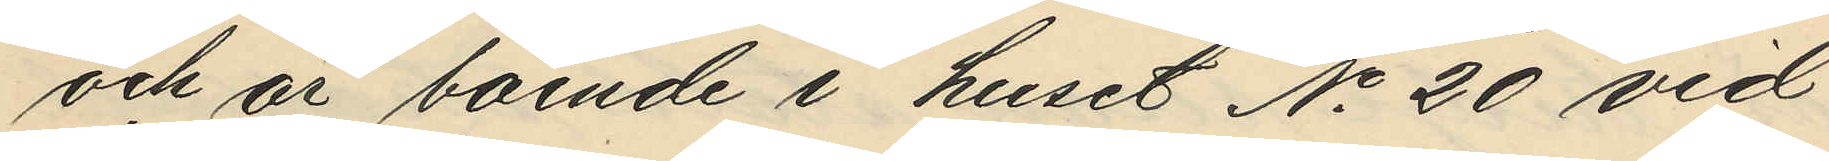och är boende i huset No 20 vid
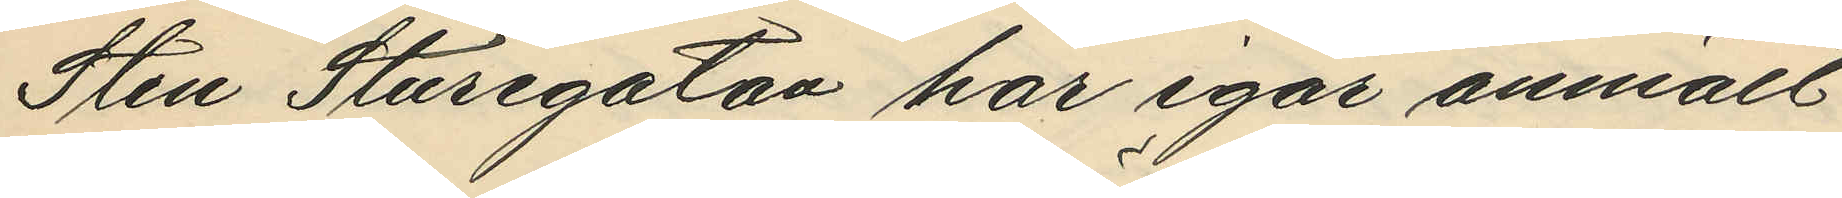Sten Sturegatan har igår anmält
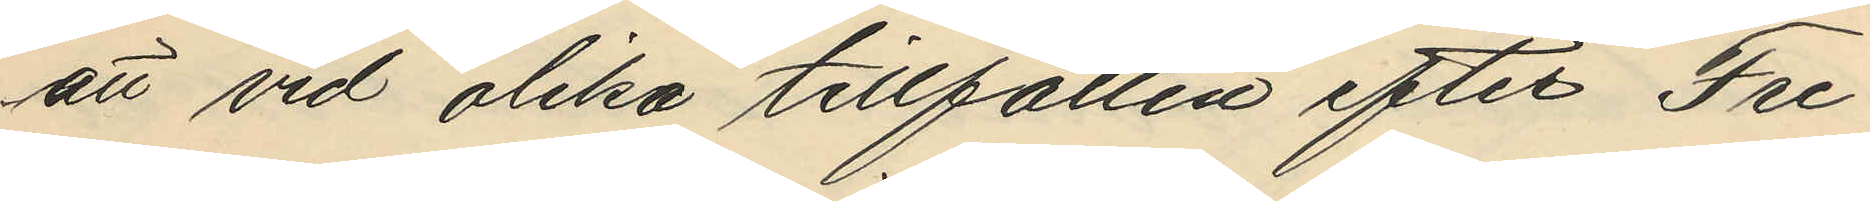att vid olika tillfällen efter Fre¬
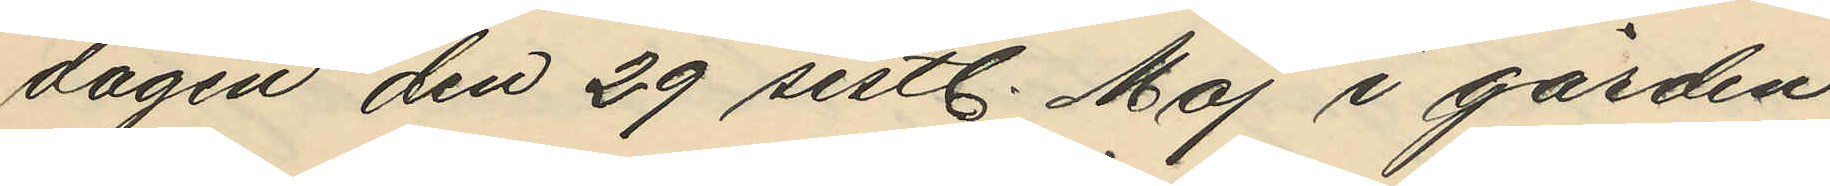dagen den 29 sistl. Maj i gården
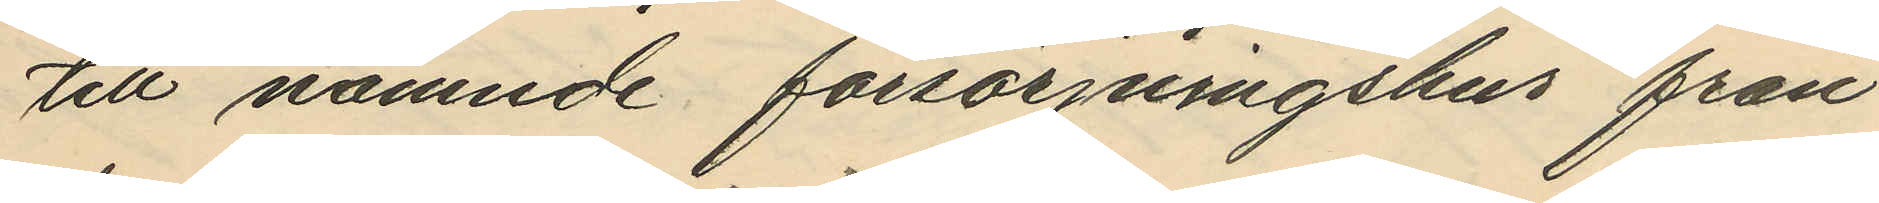till nämnde försörjningshus från
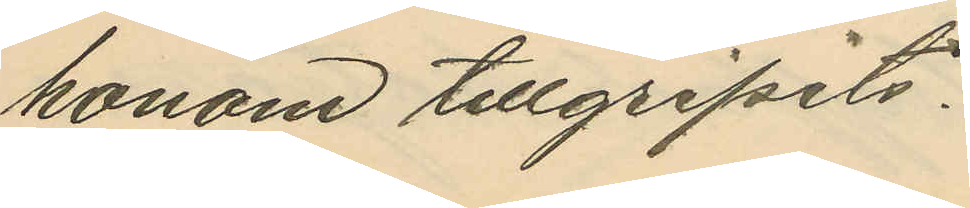honom tillgripits:
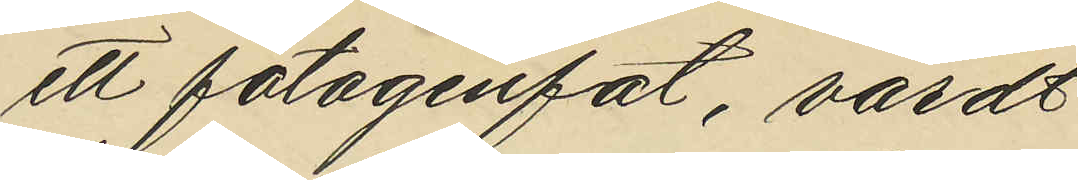ett fotogenfat, värdt
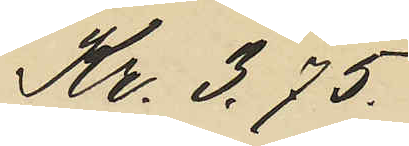Kr. 3,75.
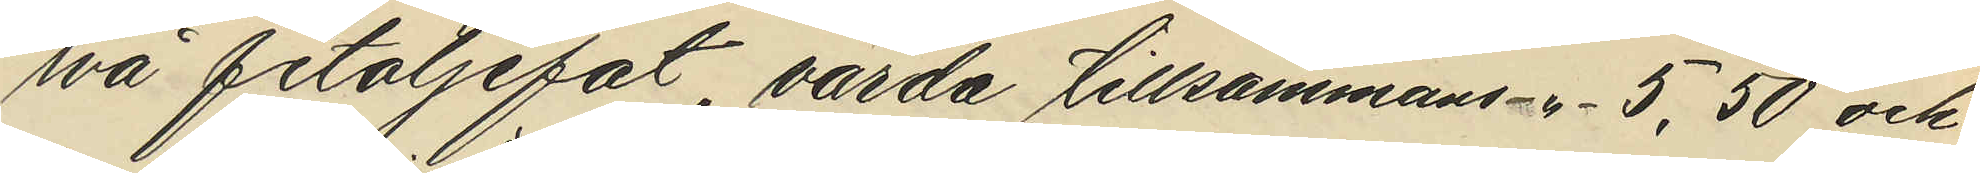två fetoljefat, värda tillsammans -"- 5,50 och
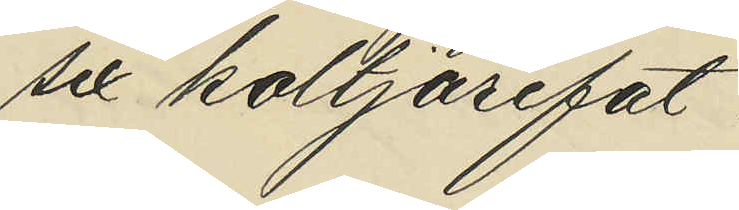sex koltjärefat
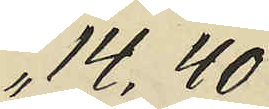" 14,40
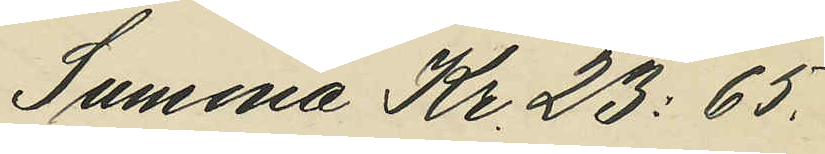Summa Kr. 23:65.
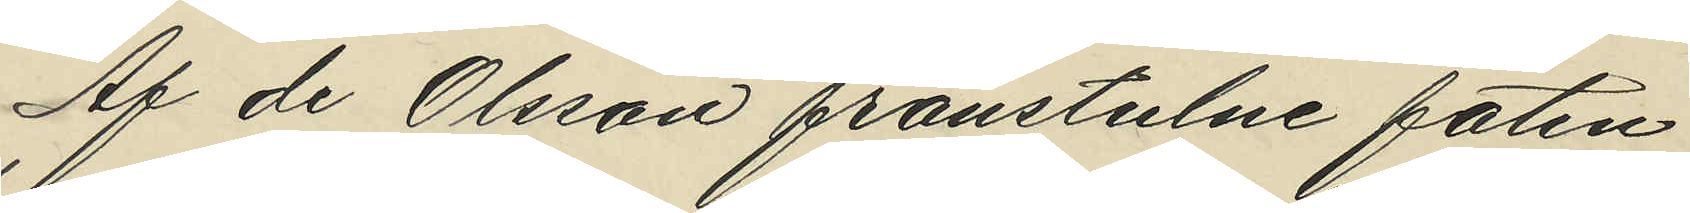Af de Olsson frånstulne faten
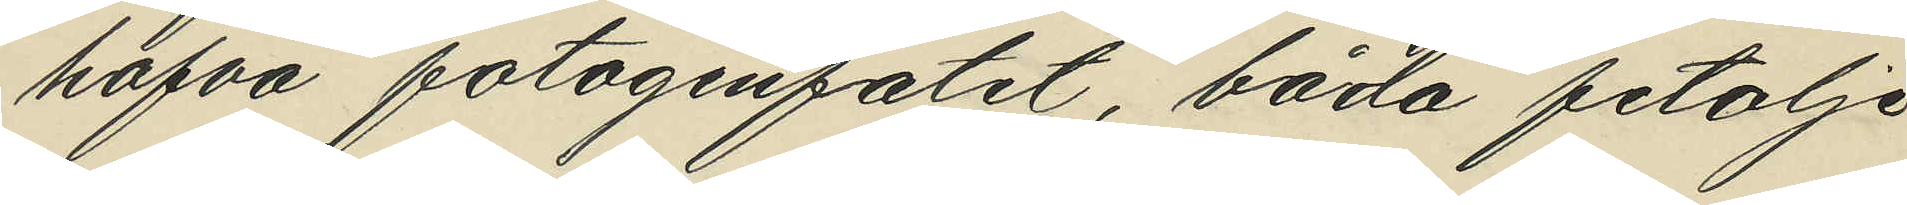hafva fotogenfatet, båda fetolje
